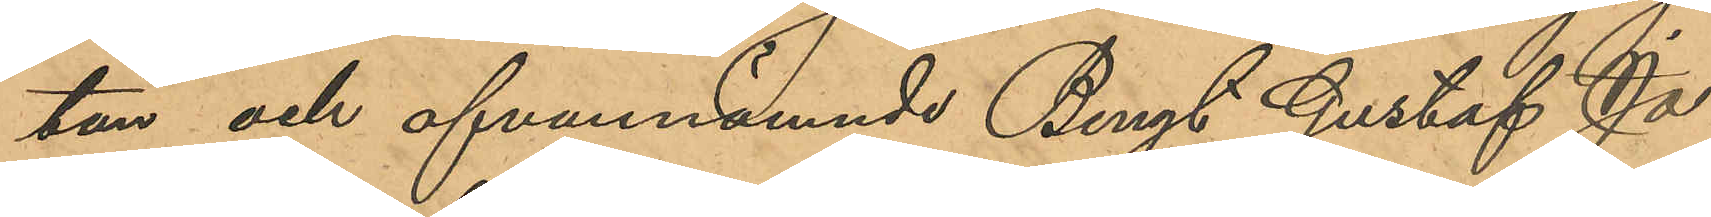tan och ofvannämnde Bengt Gustaf Jo¬
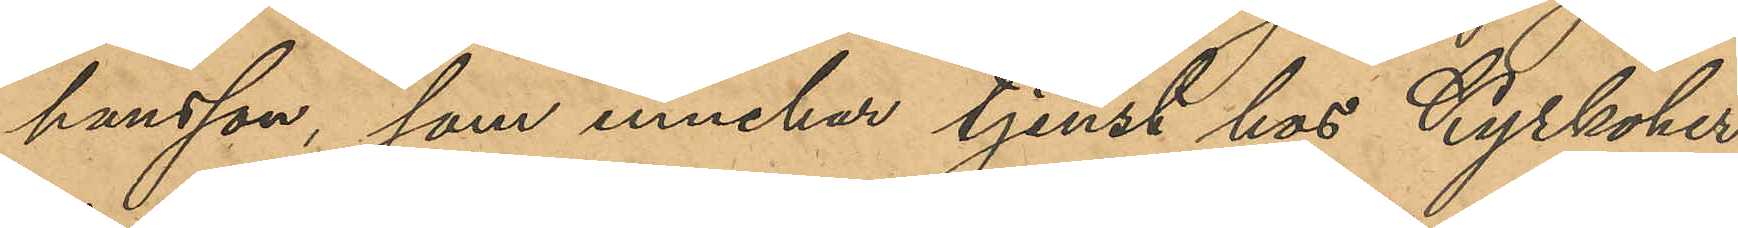hansson, som innehar tjenst hos Kyrkoher¬
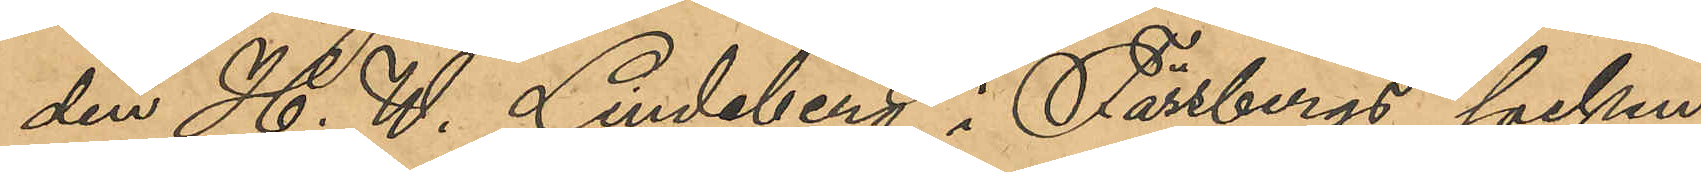den H. W. Lindeberg i Fässbergs socken
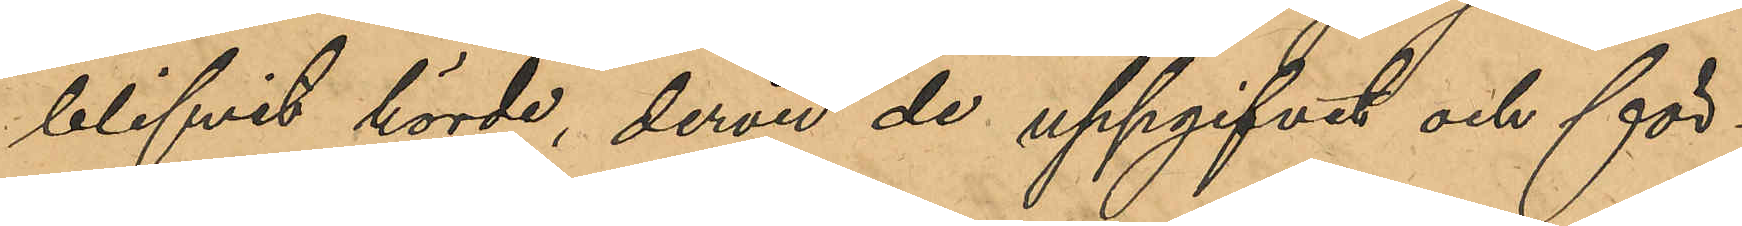blifvit hörde, dervid de uppgifvit och för¬
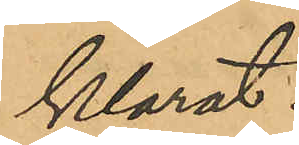klarat.
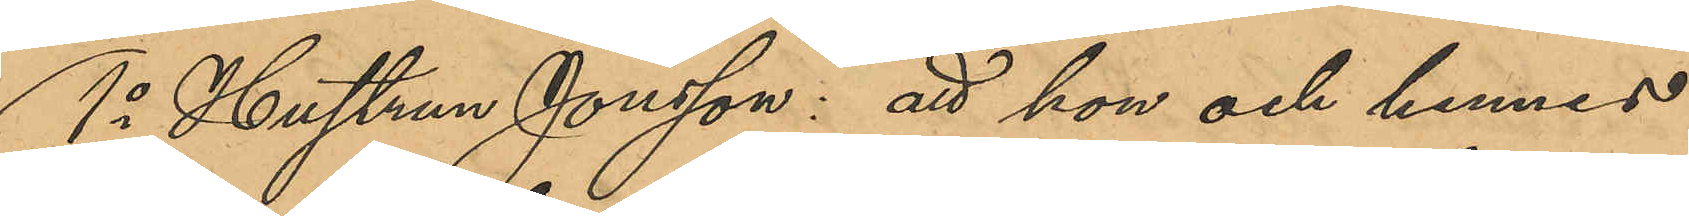1o Hustrun Jonsson: att hon och hennes
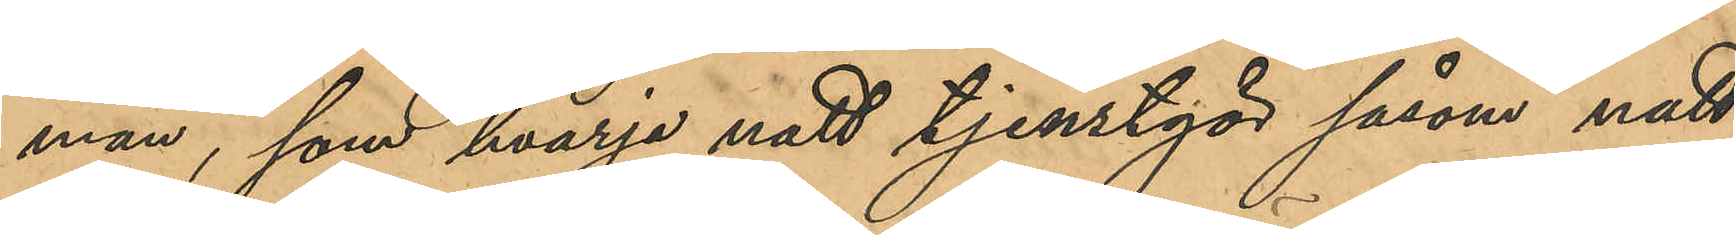man, som hvarje natt tjenstgör såsom natt¬
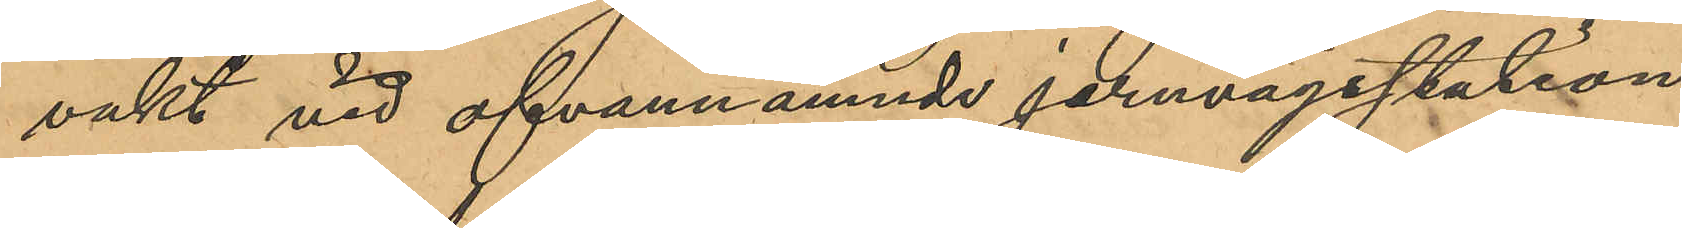vakt vid ofvannämnde jernvägsstation
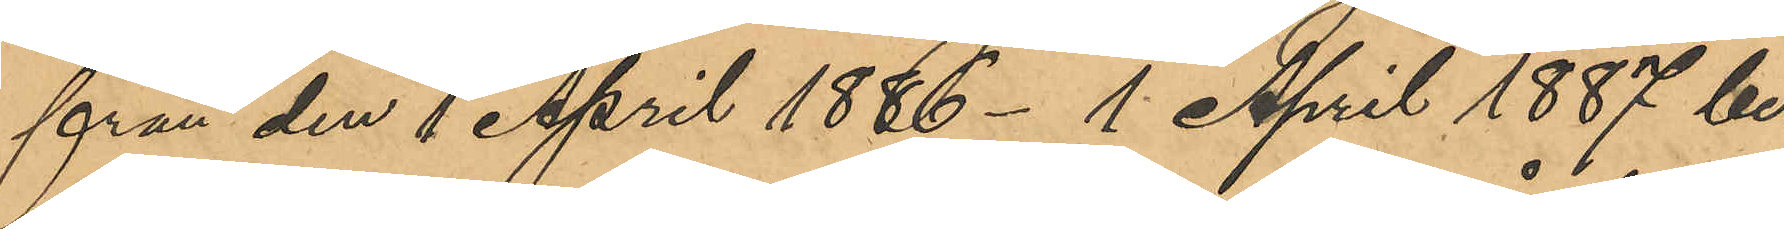från den 1 April 1886 - 1 April 1887 be¬
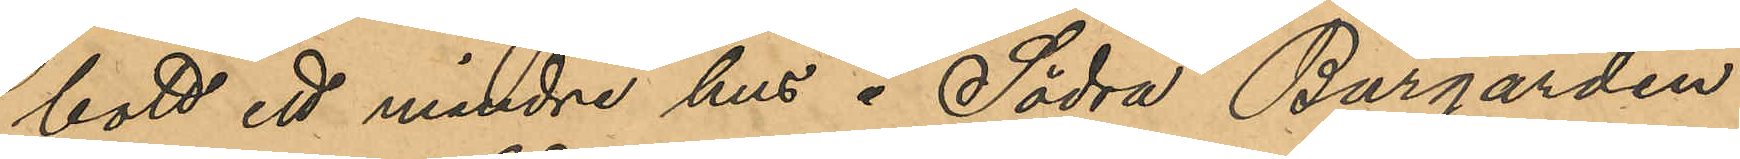bott ett mindre hus å Södra Burgården;
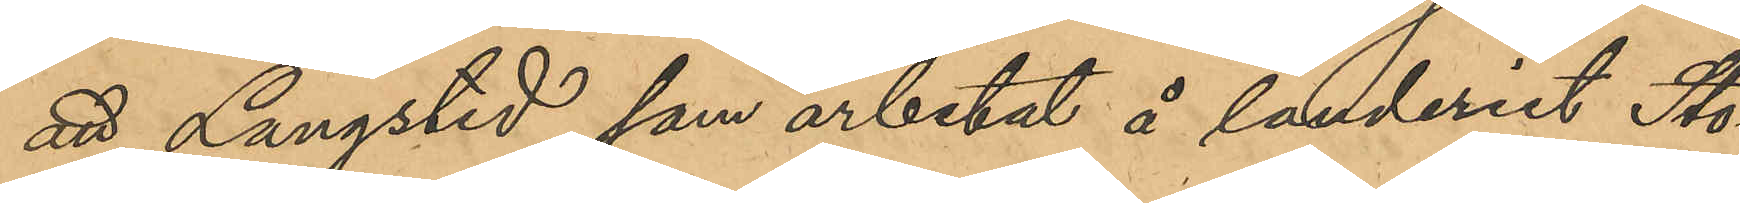att Langstedt, som arbetat å landeriet Sto¬
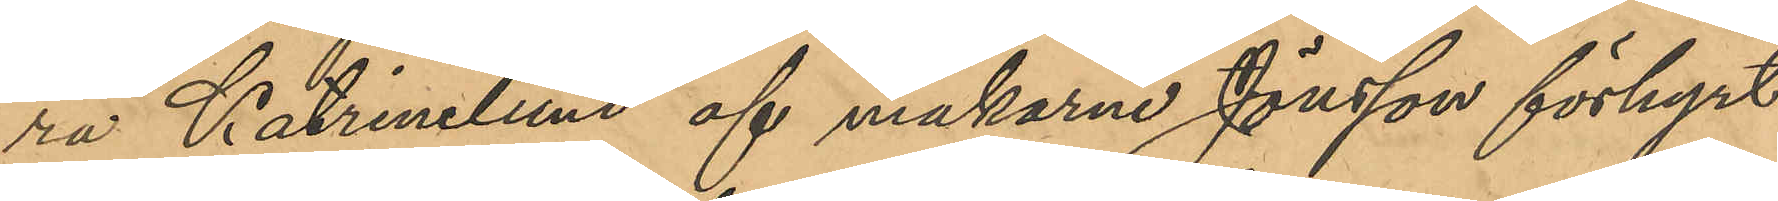ra Katrinelund af makarne Jönsson förhyrt
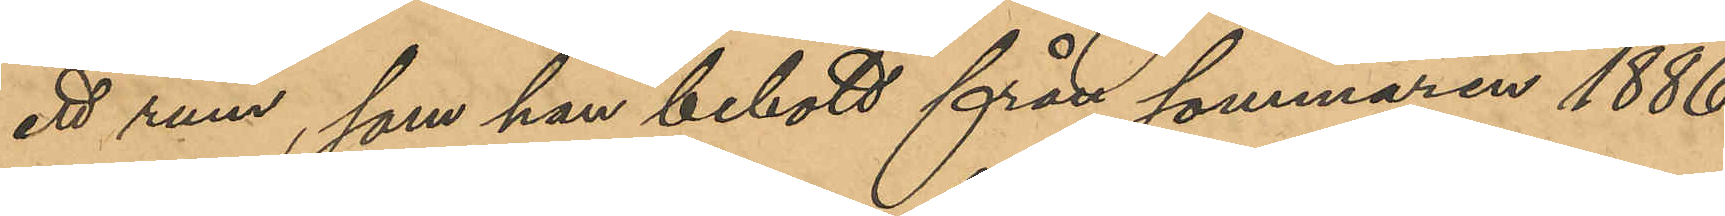ett rum, som han bebott från sommaren 1886
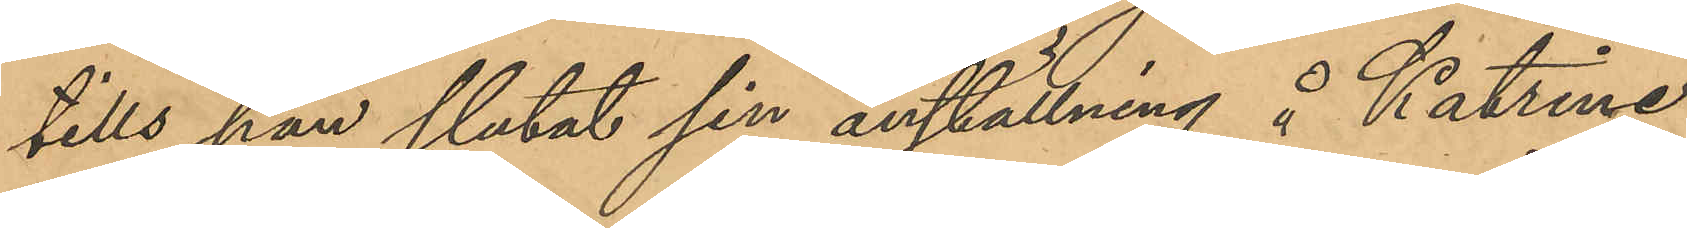tills han slutat sin anställning å Katrine¬
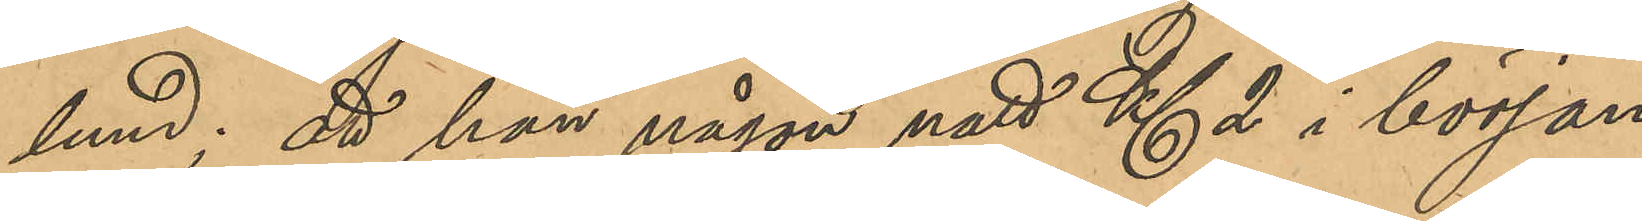lund; att han någon natt Kl 2 i början
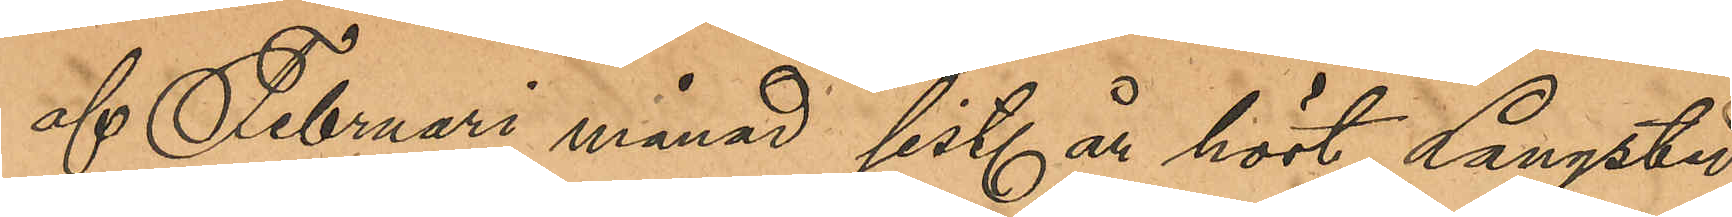af Februari månad sist. höst Langsted
